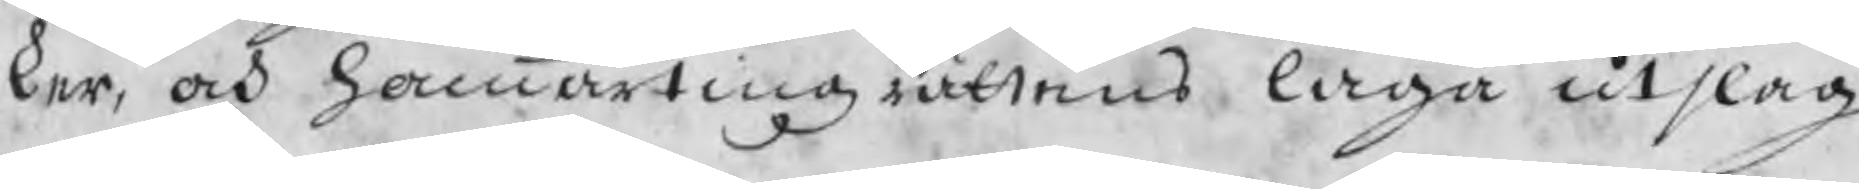ker, och hammartingzrättens laga utslag
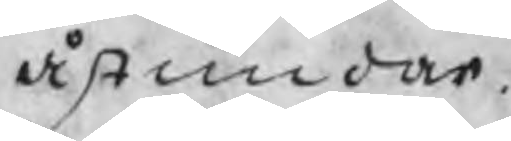åstundar.
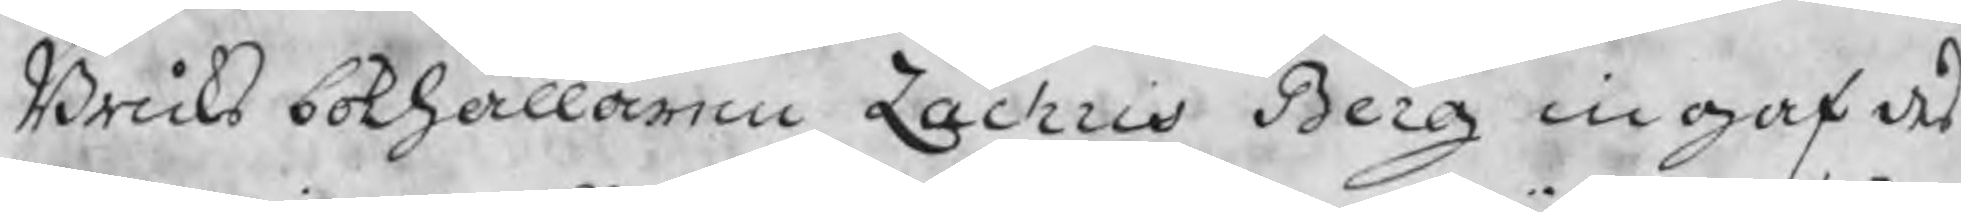Bruks bokhållaren Zachris Berg ingaf des
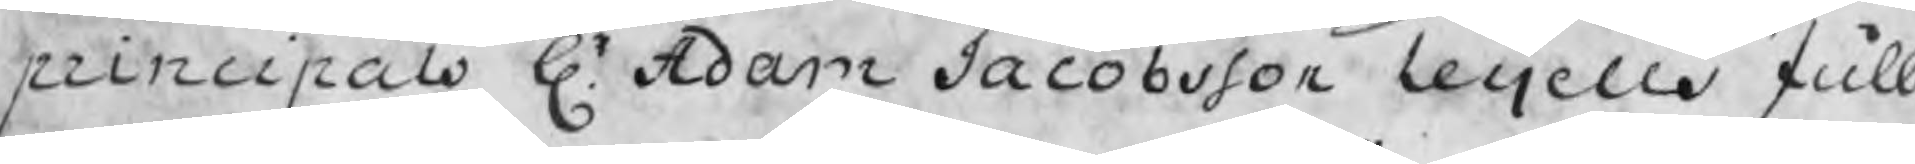principals Hr Adam Jacobsson Leijells full
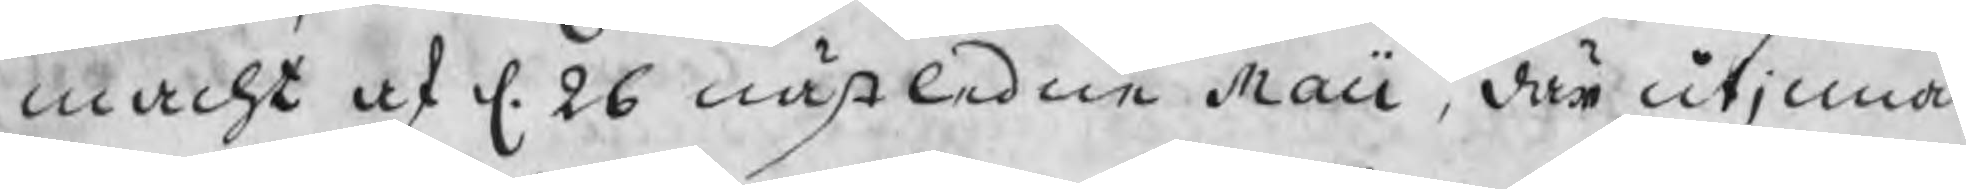macht af d. 26 nästledne Maii, där utinnan
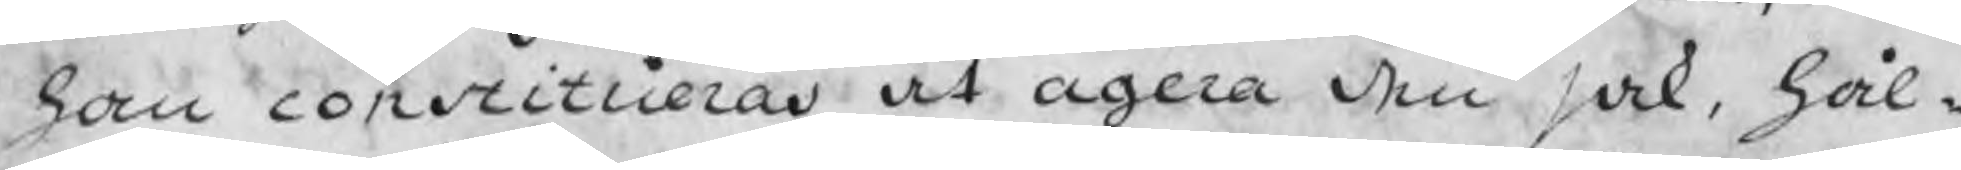han constitueras at agera den sak, hål¬
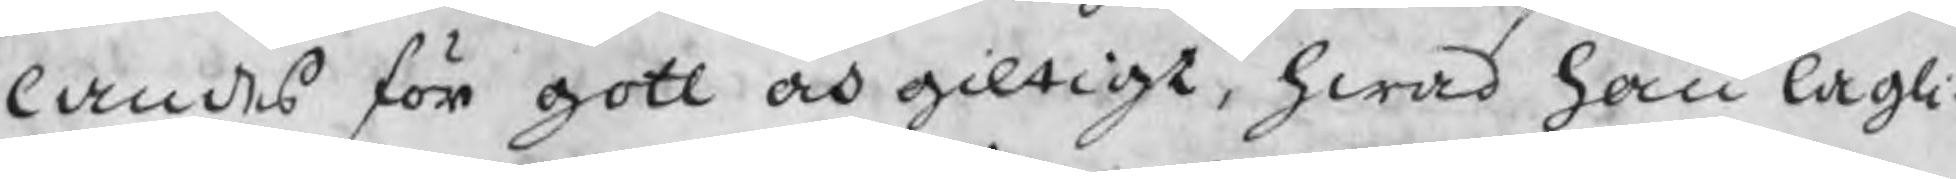landes för gott och giltigt, hwad han lagli-
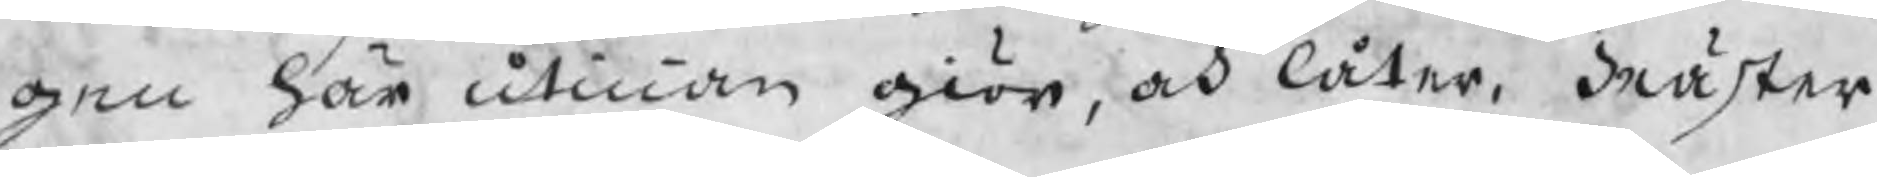gen här utinnan giör, och låter. Mäster
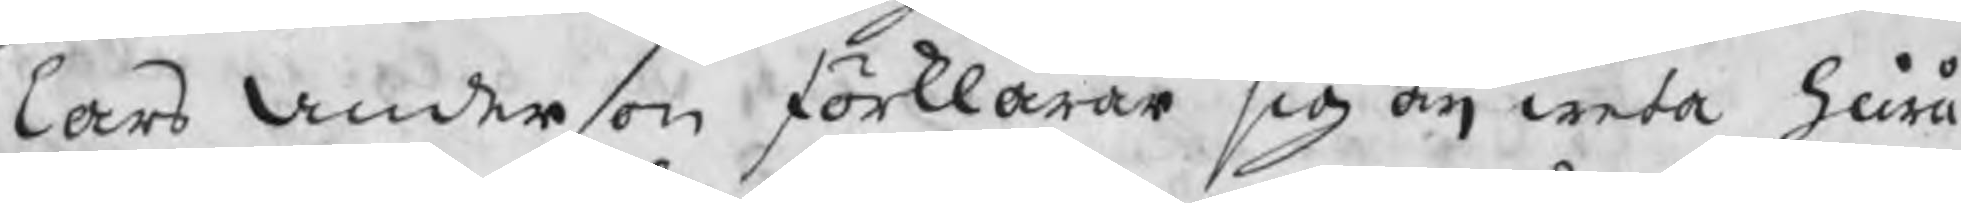Lars Anderson förklarar sig äij weta huru
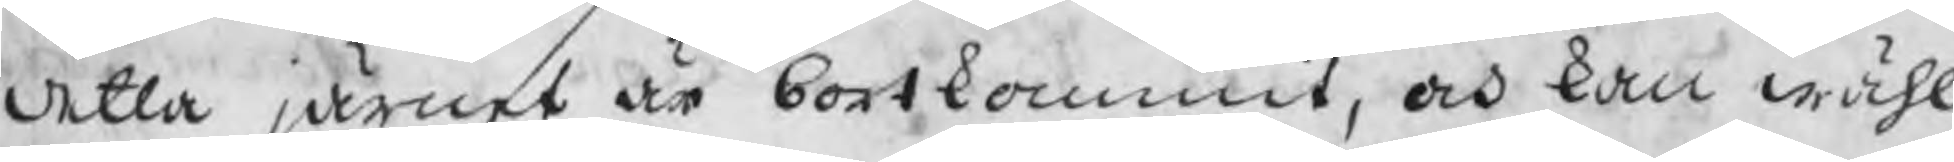detta järnet är bortkommit, och kan wähl
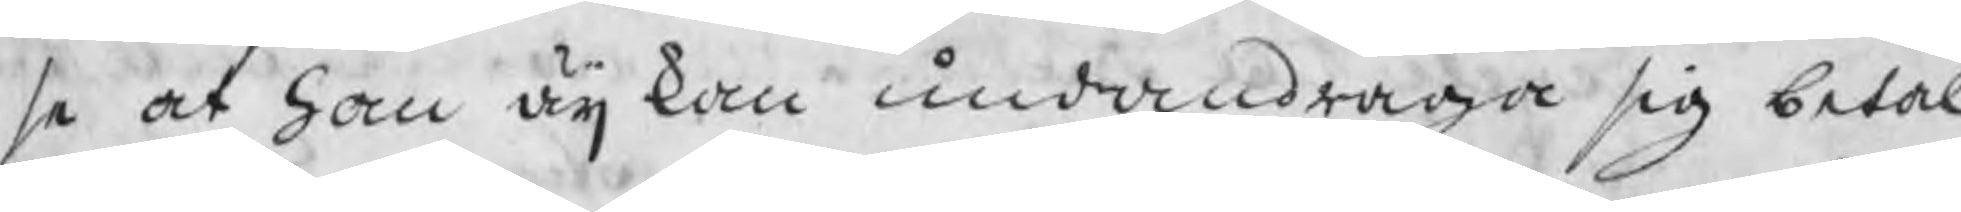se at han äij kan undandraga sig betal-
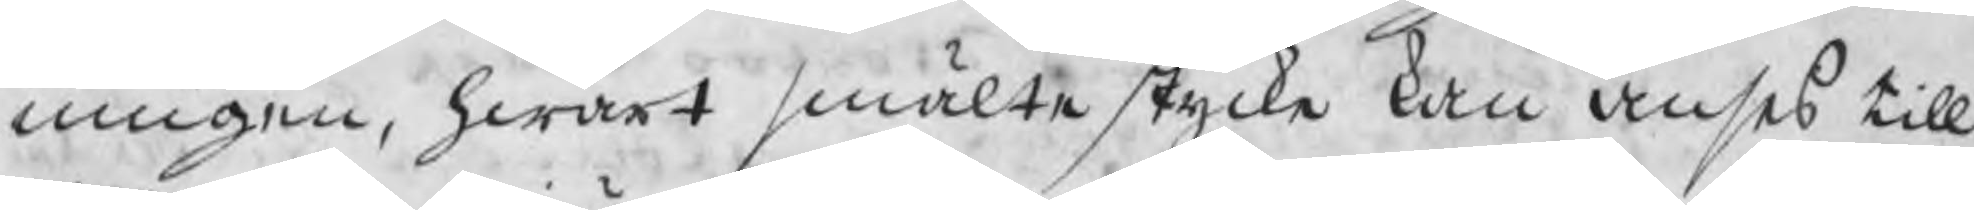ningen, hwart smälte stycke kan anses till
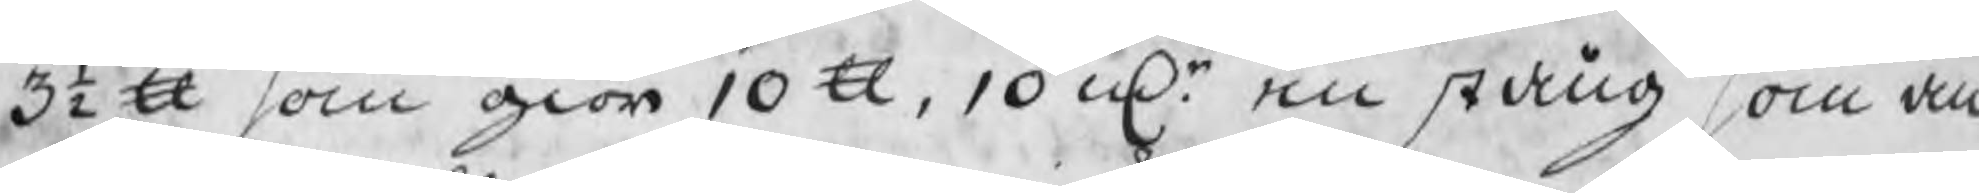3½ U som giör 10 U, 10 mkr en stång, som an
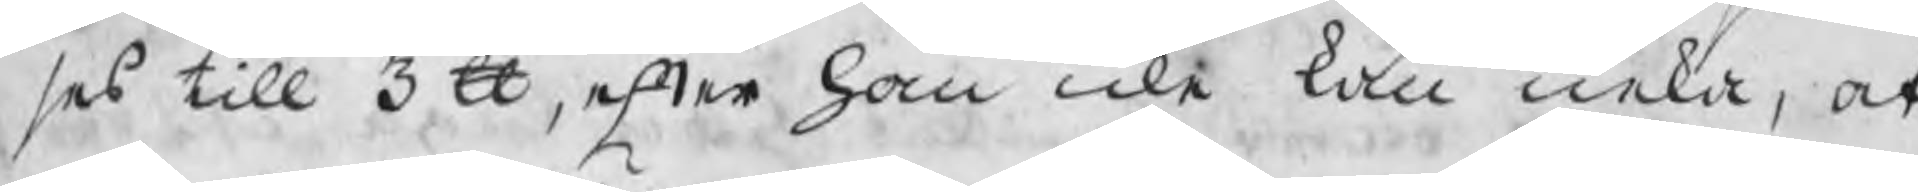ses till 3 U, efter han icke kan neka, at
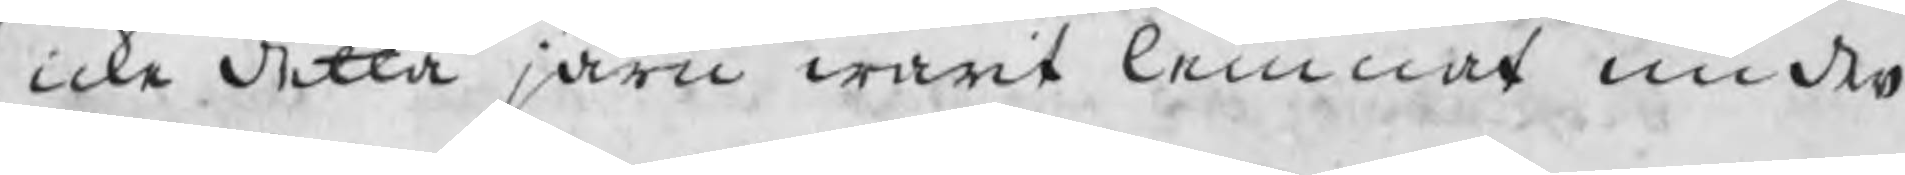icke detta järn warit lemnat under
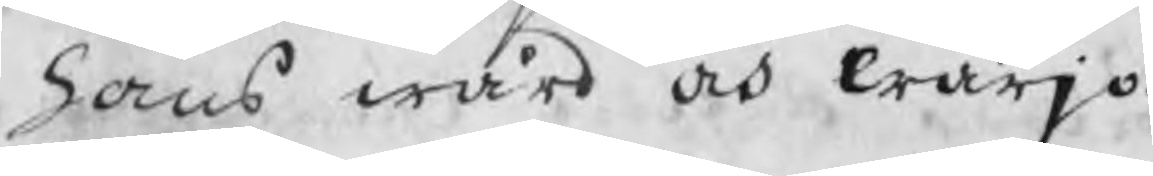hans wård och wärjo.
